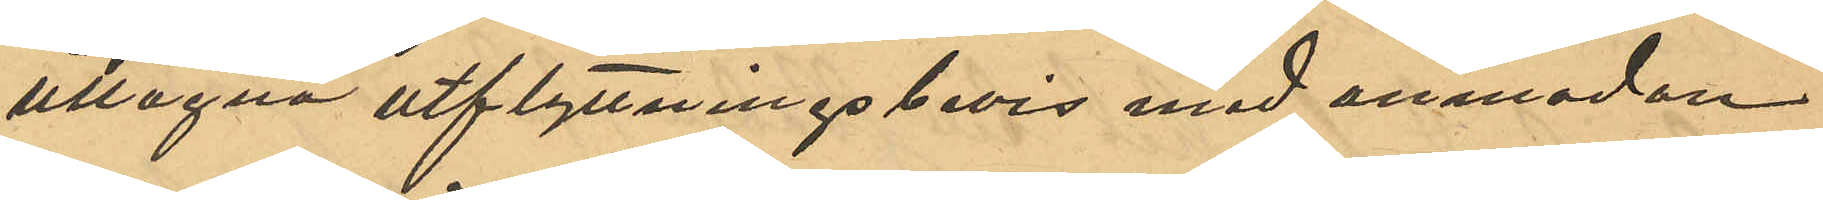uttagna utflyttningsbevis med anmodan
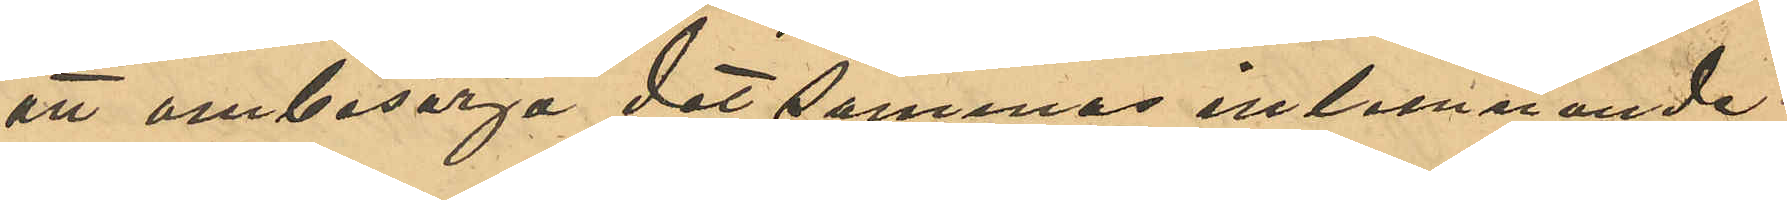att ombesörja detsammas inlemnande
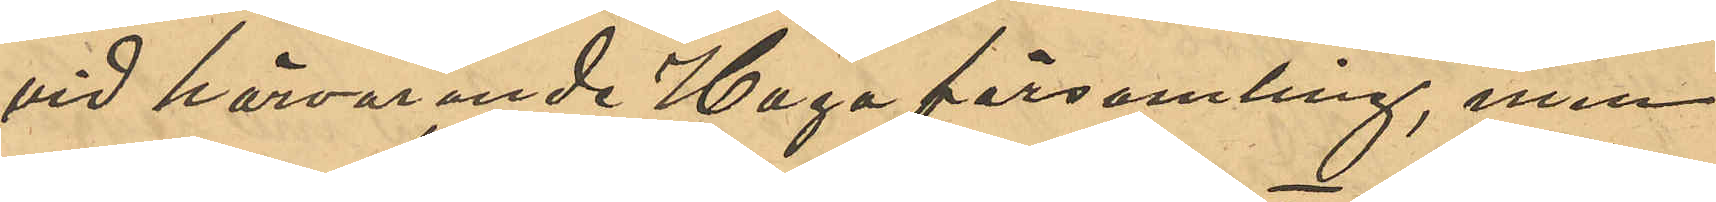vid härvarande Haga församling, men
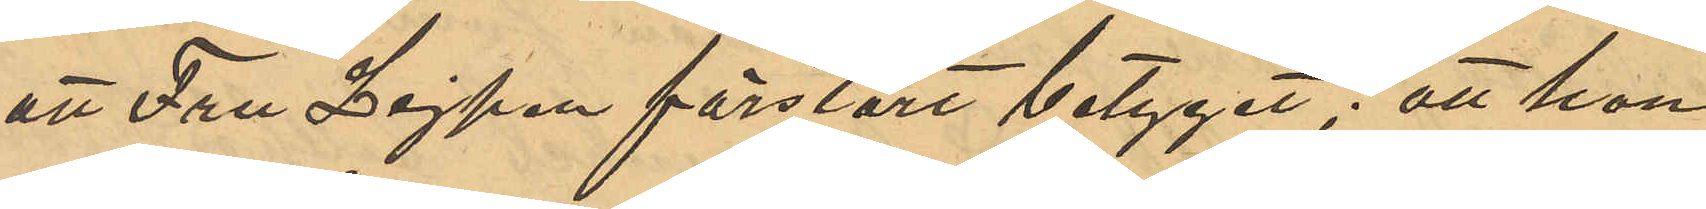att Fru Lejpen förstört betyget; att hon
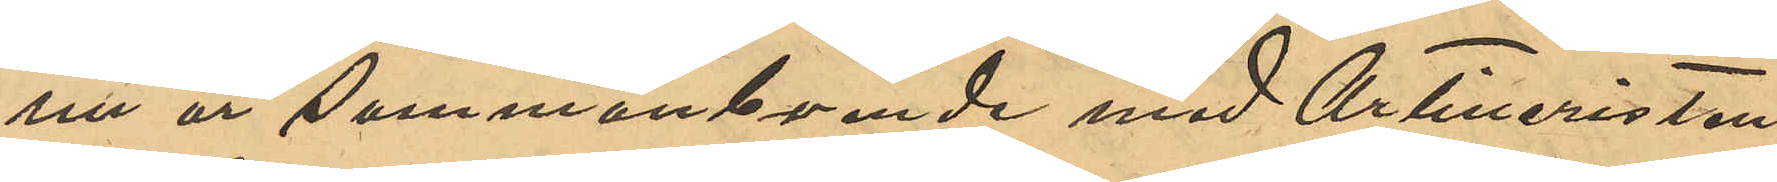nu är sammanboende med Artilleristen
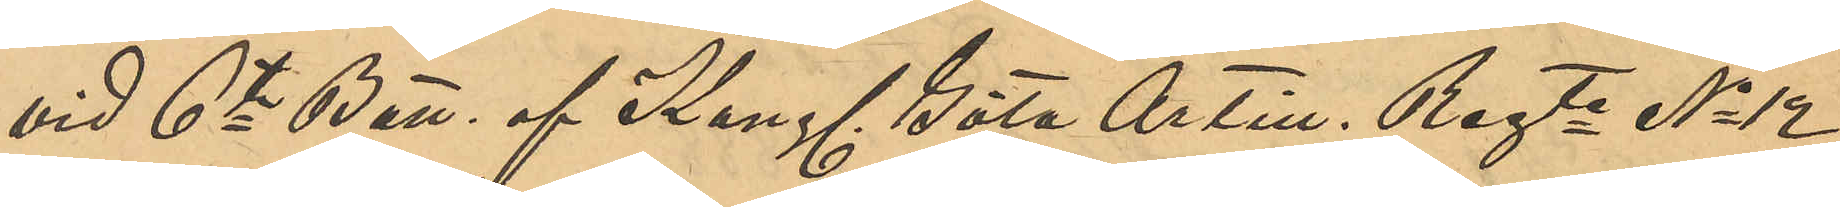vid 6te Batt. af Kongl. Göta Artill. Regte No 12
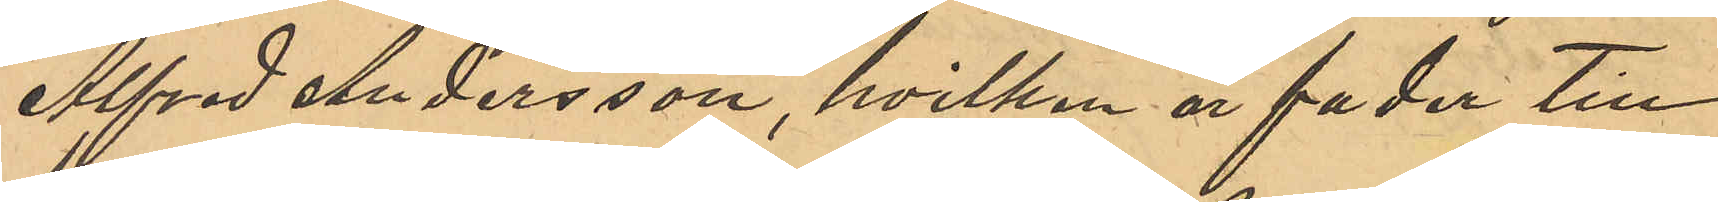Alfred Andersson, hvilken är fader till
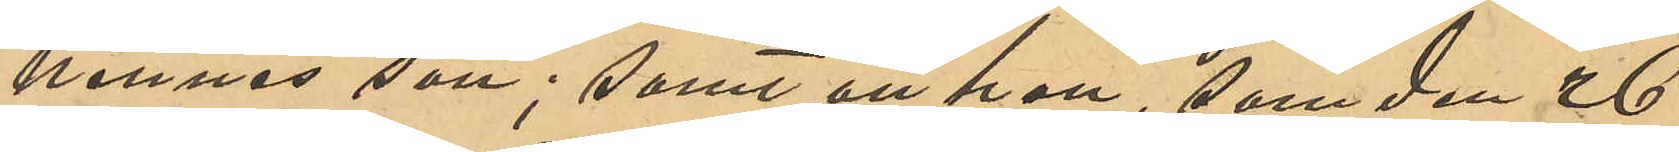hennes son; samt att hon, som den 26
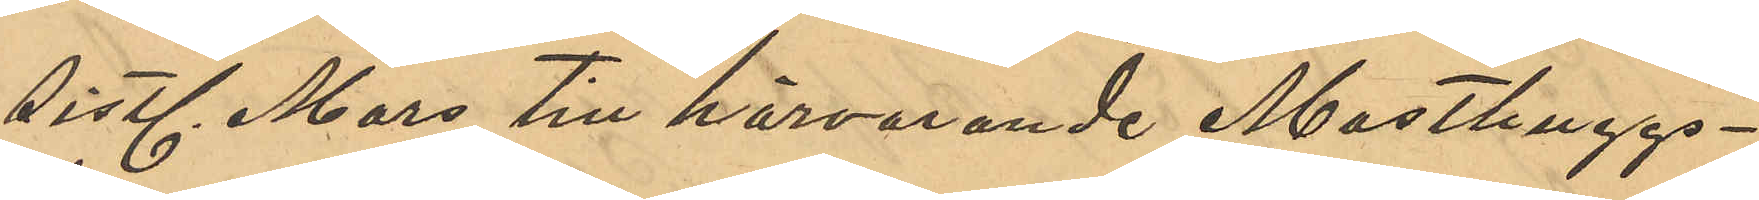sistl Mars till härvarande Masthuggs¬
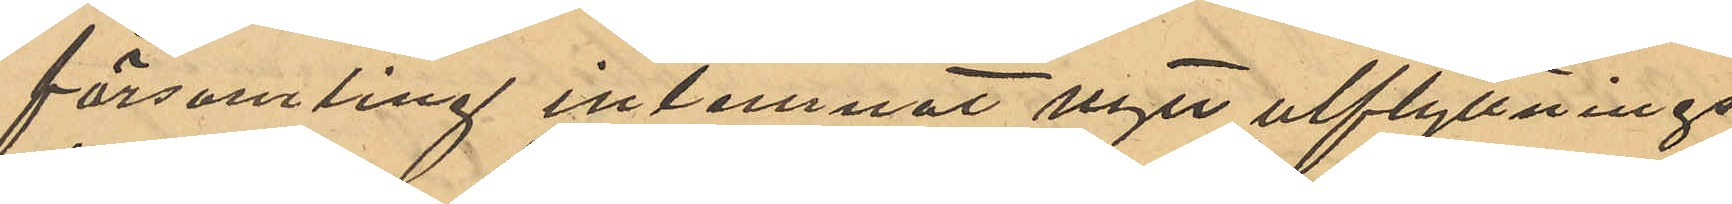församling inlemnat nytt utflyttnings¬
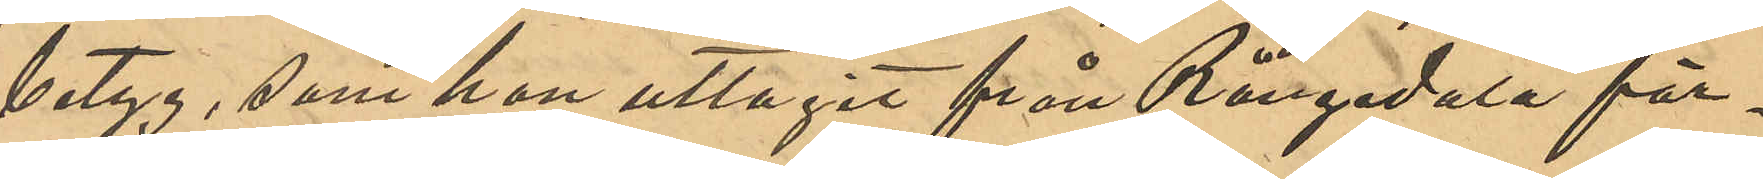betyg, som hon uttagit från Rångedala för¬
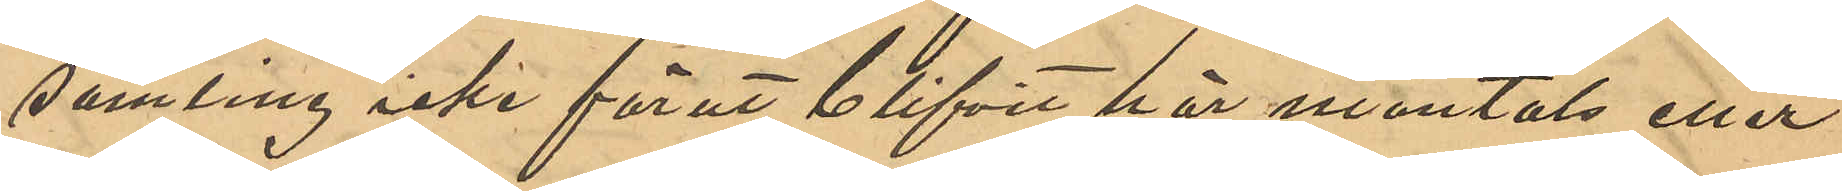samling icke förut blifvit här mantals eller
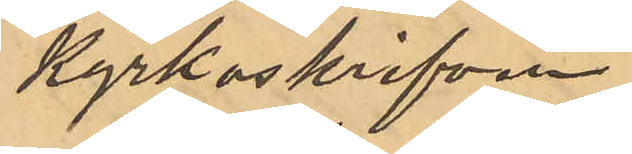Kyrkoskrifven.
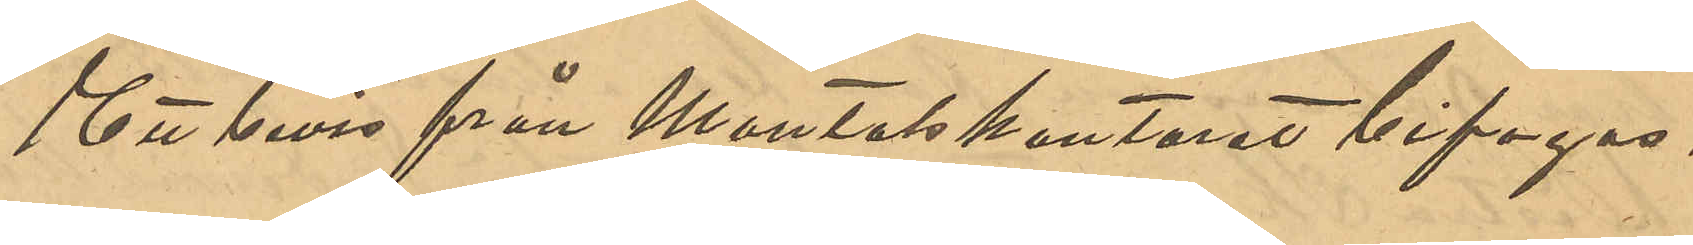Ett bevis från Mantalskontoret bifogas.
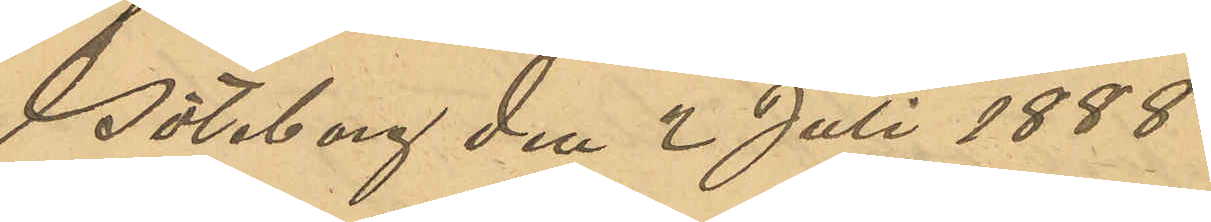Göteborg den 2 Juli 1888.
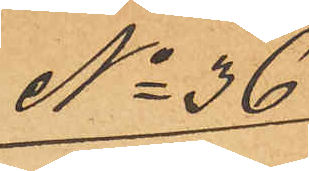No 36
